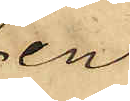en
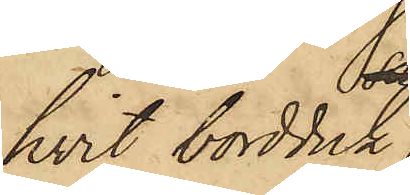hvit bordduk,
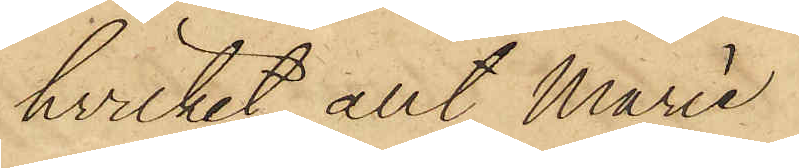hvilket allt Marie
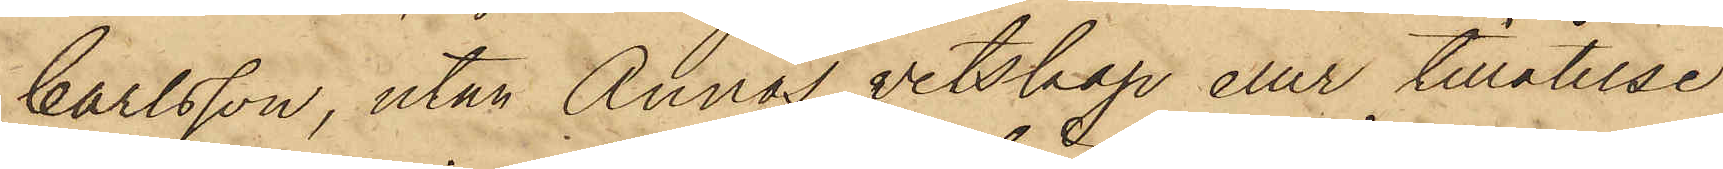Carlsson, utan Annas vetskap eller tillåtelse
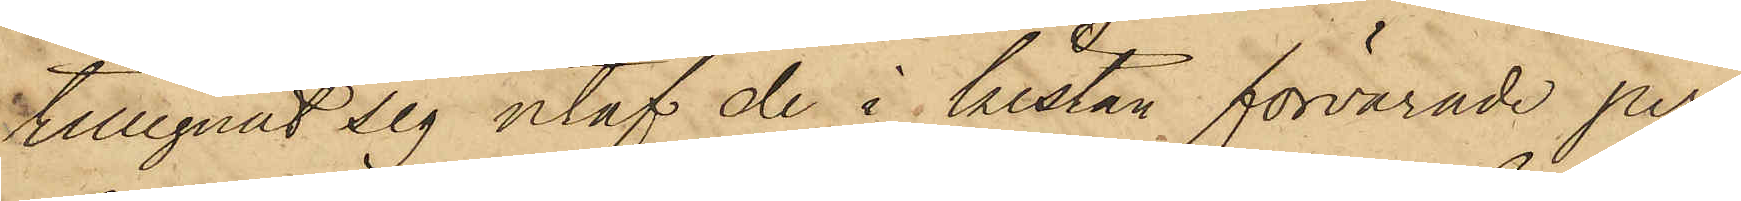tillegnat sig utaf de i hustan förvarade per¬
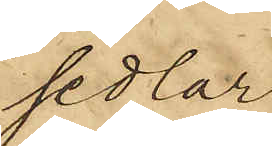sedlar,
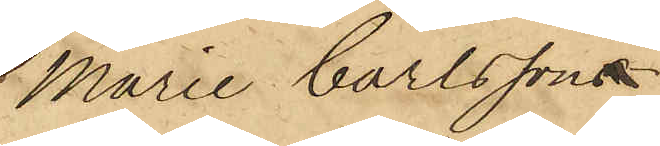Marie Carlssons
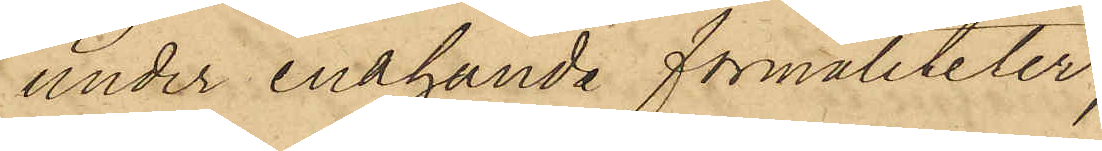under enahanda formaliteter,
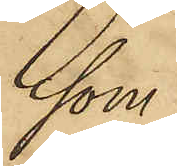som
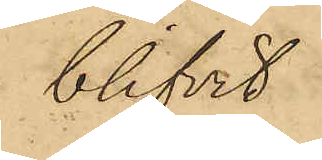blifvit
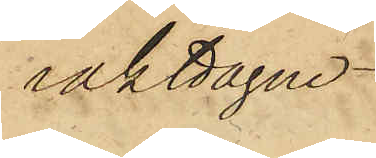iakttagne
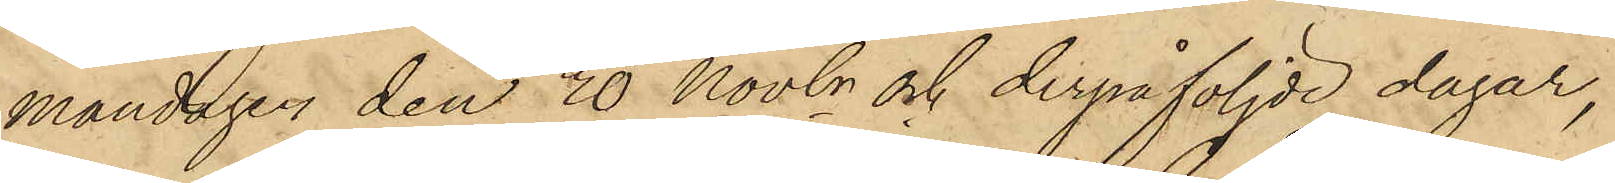Måndagen den 20 Novbr och derpåföljde dagar,
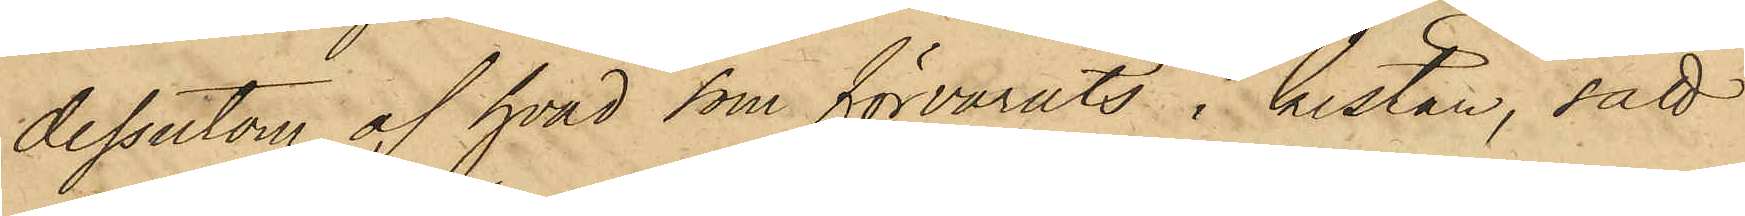dessutom af hvad som förvarats i kistan, satt
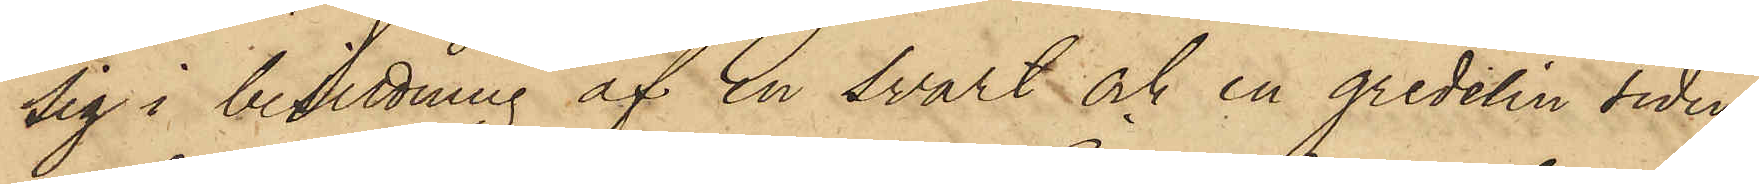sig i besittning af en svart och en gredelin siden¬
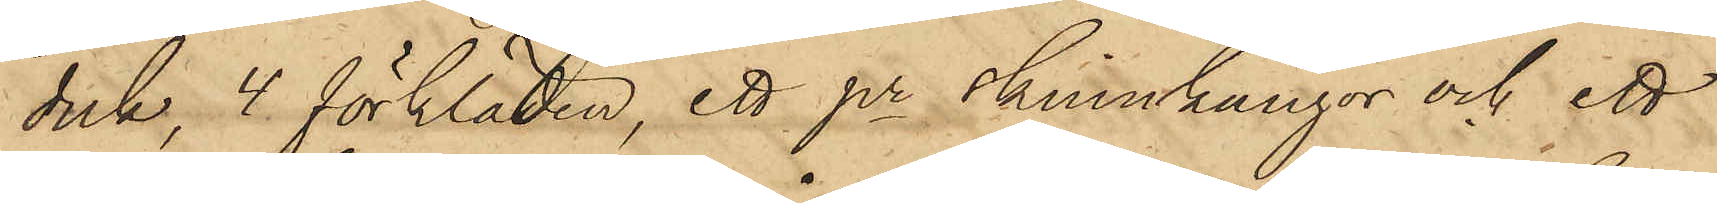duk, 4 förkläden, ett pr skinnkängor och ett
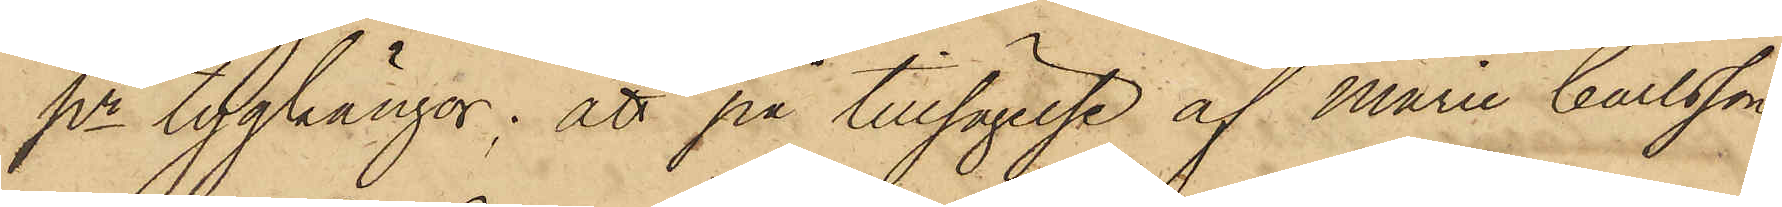pr tygkängor; att på tillsägelse af Marie Carlsson
